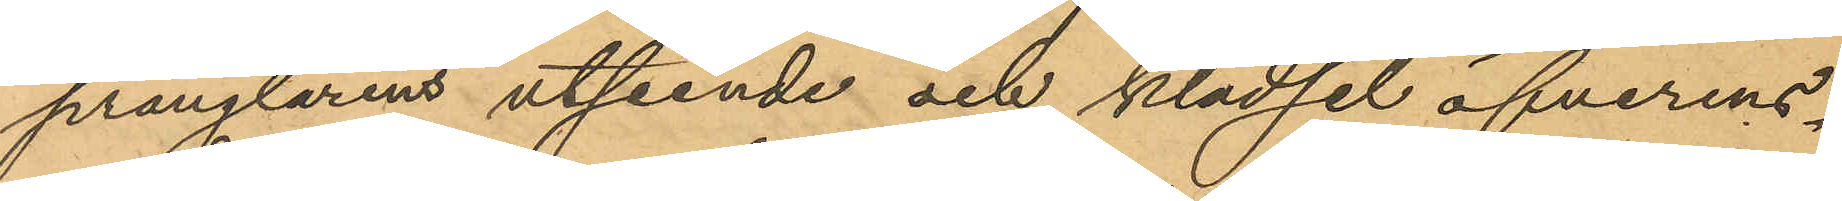prånglarens utseende och klädsel öfverens¬
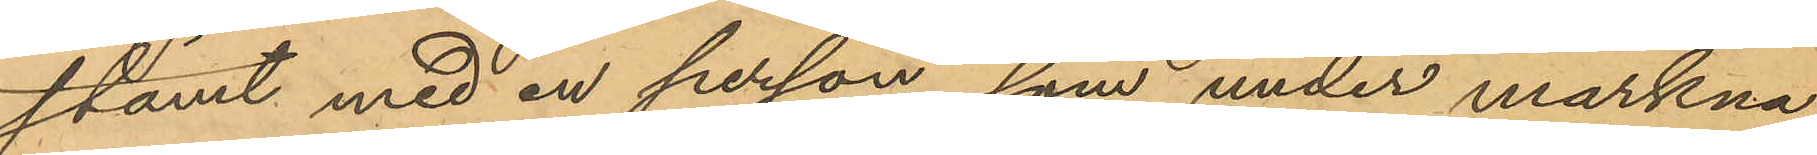stämt med en person, som under markna¬
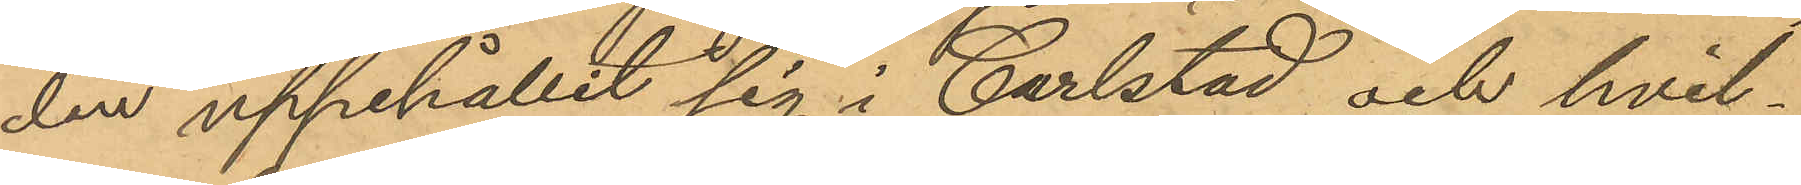den uppehållit sig i Carlstad och hvil¬
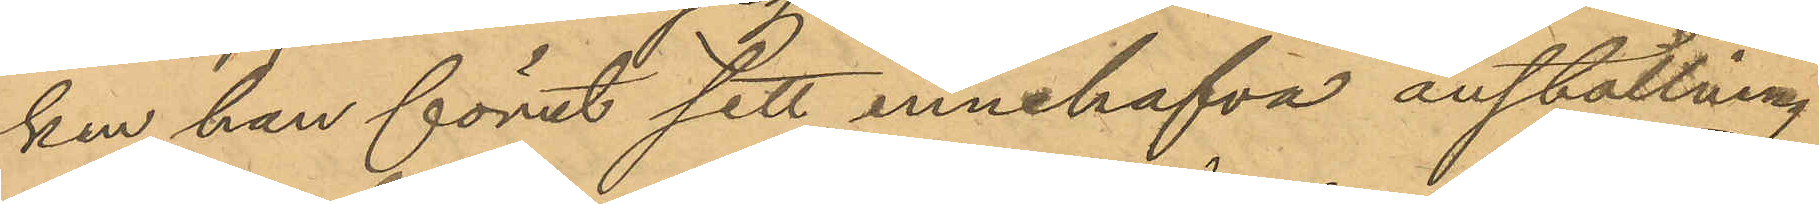ken han förut sett innehafva anställning
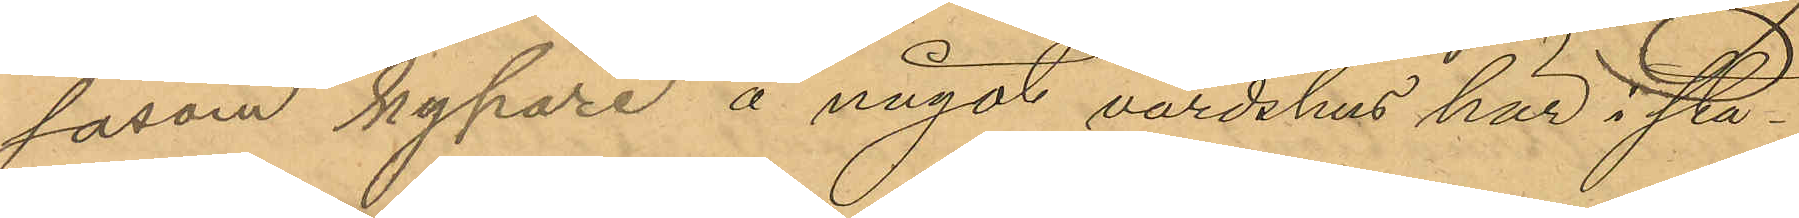såsom kypare å något värdshus här i sta¬
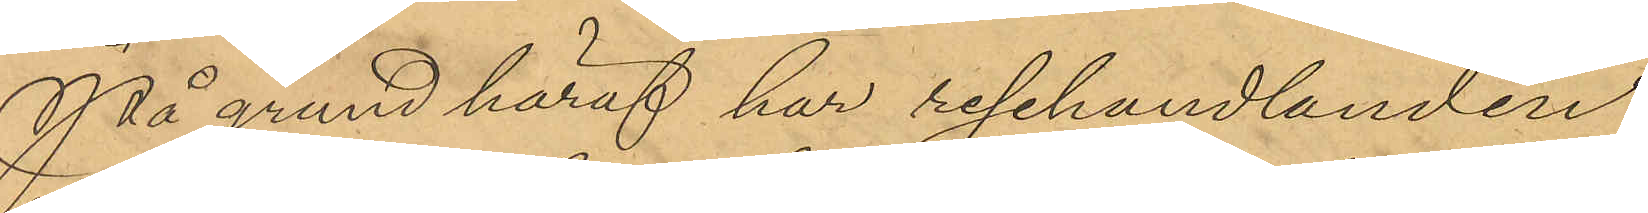På grund häraf har resehandlanden
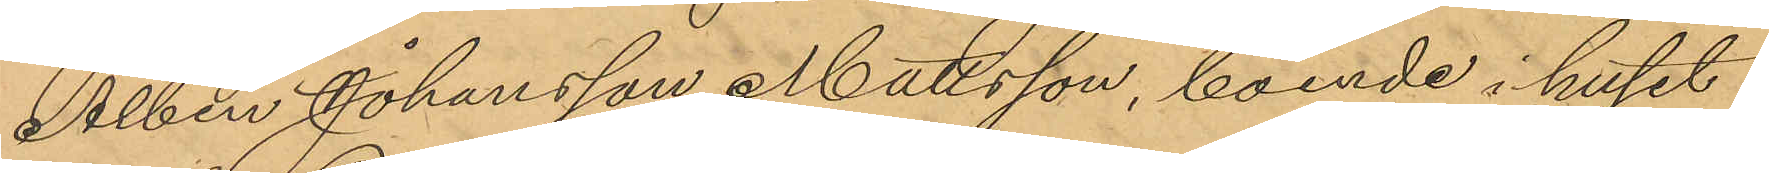Albin Johansson Mattsson, boende i huset
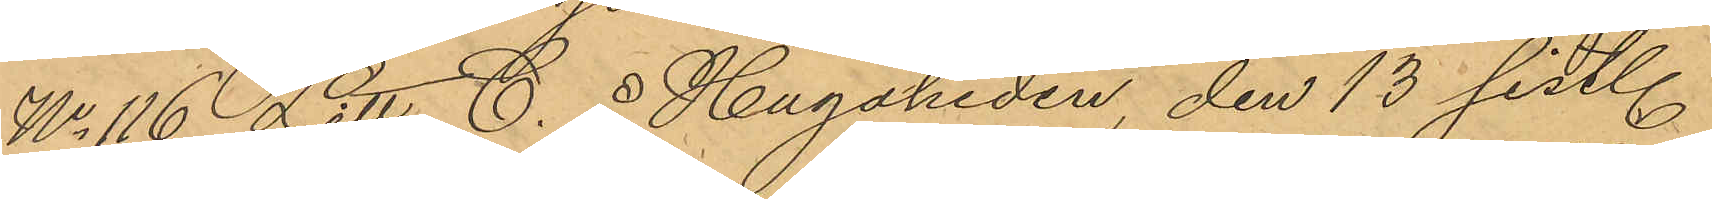No 116 Litt. C. å Hagaheden den 13 sist.
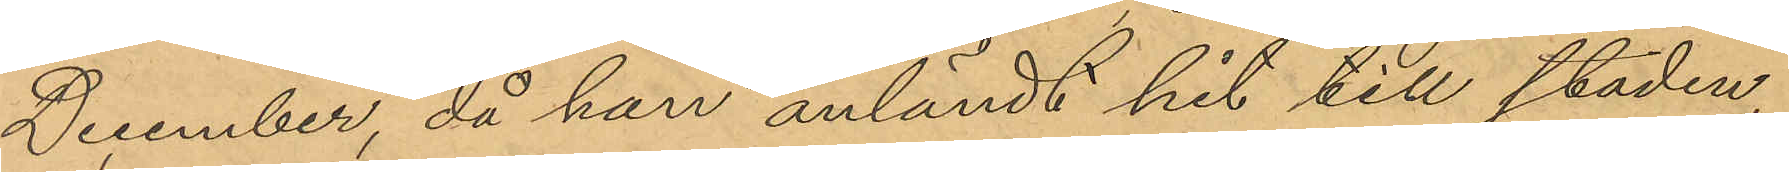December, då han anländt hit till staden,
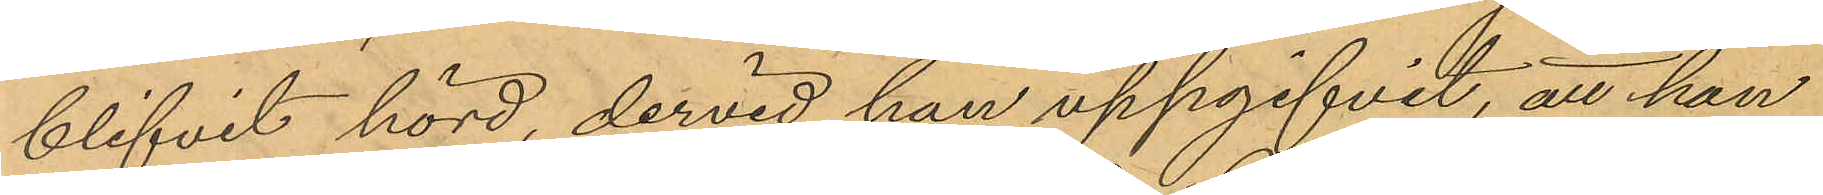blifvit hörd, dervid han uppgifvit, att han
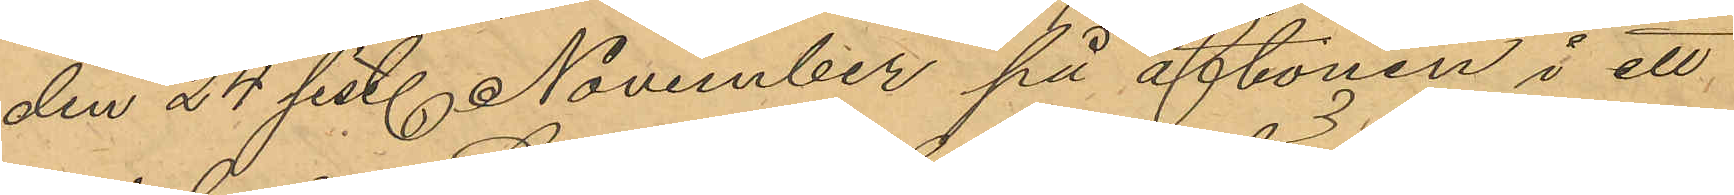den 24 sist. November på aftonen i ett
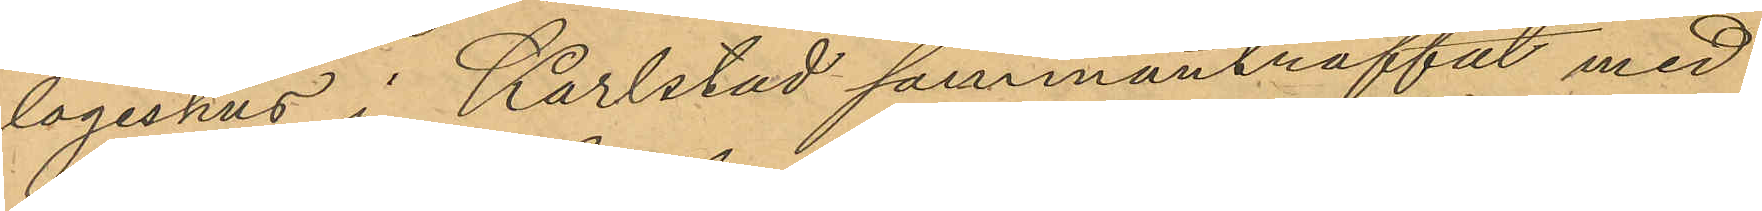logishus i Karlstad sammanträffat med
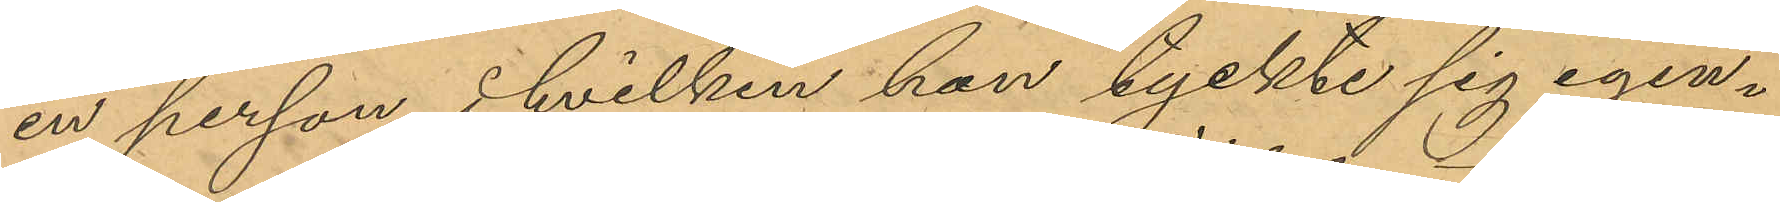en person, i hvilken han tyckte sig igen¬
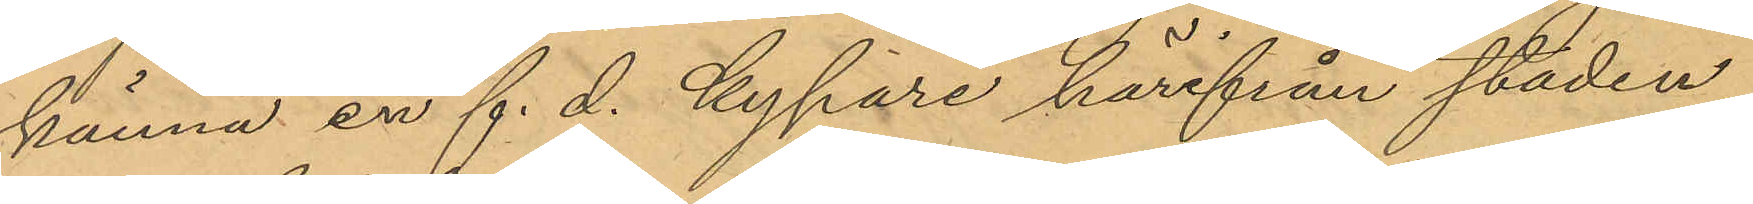känna en f. d. kypare härifrån staden,
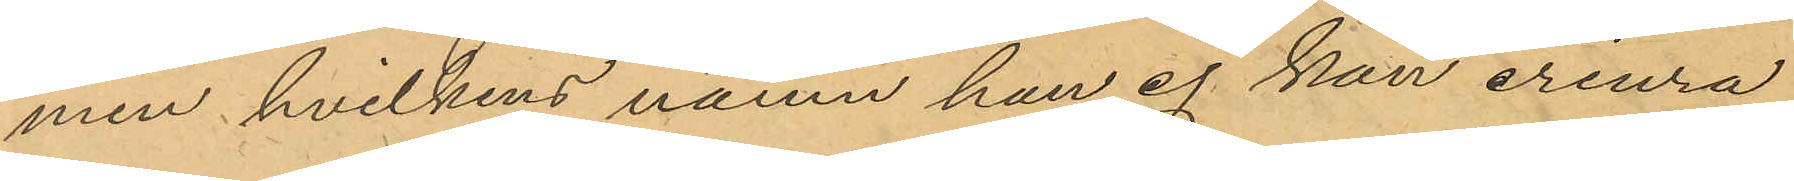men hvilkens namn han ej. kan erinra
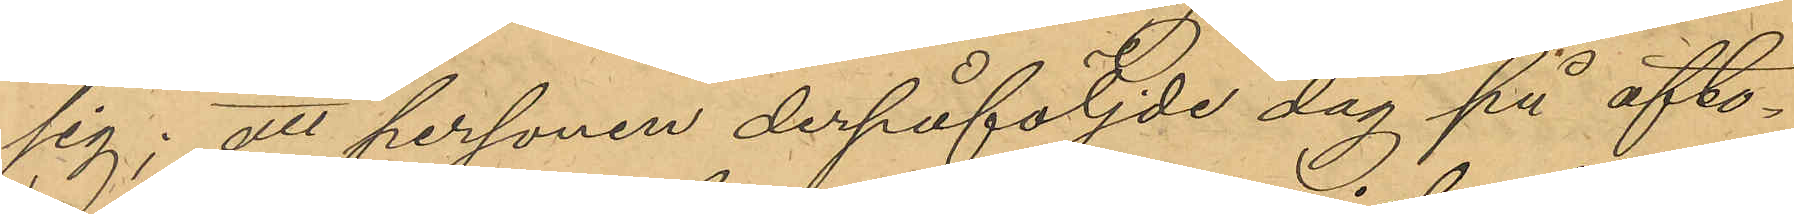sig; att personen derpåföljde dag på afto¬
